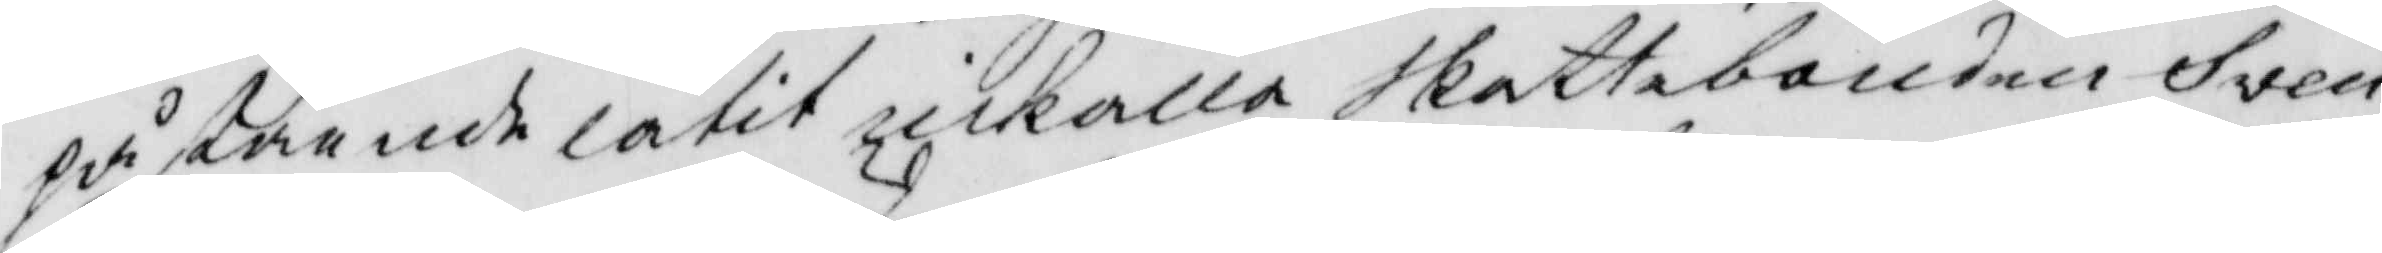påstående låtit inkalla skattebonden Sven
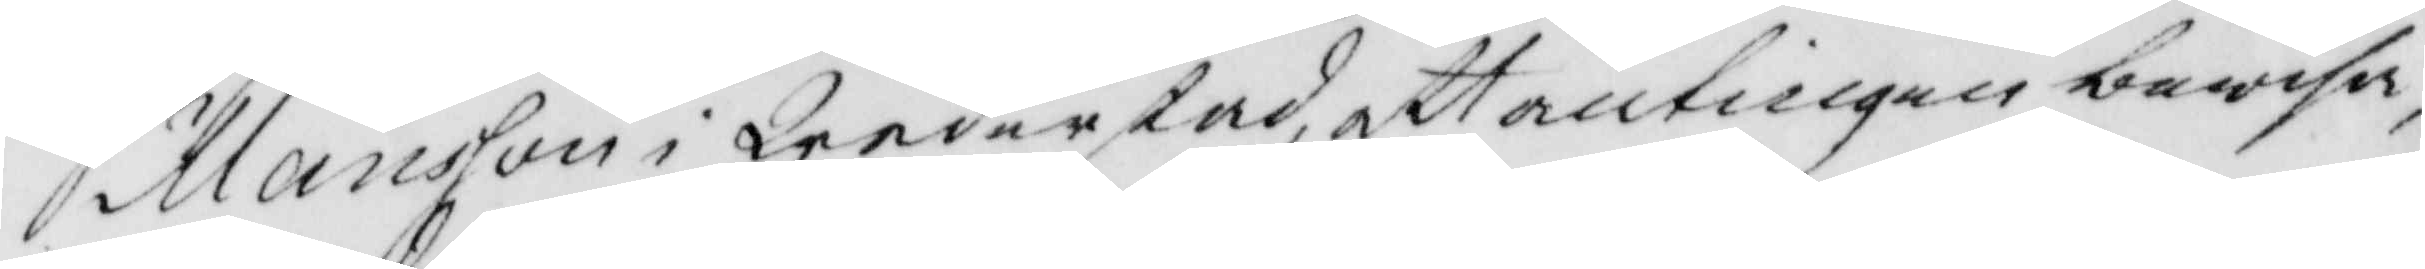Månsson i Wederstad, att antingen bewisa
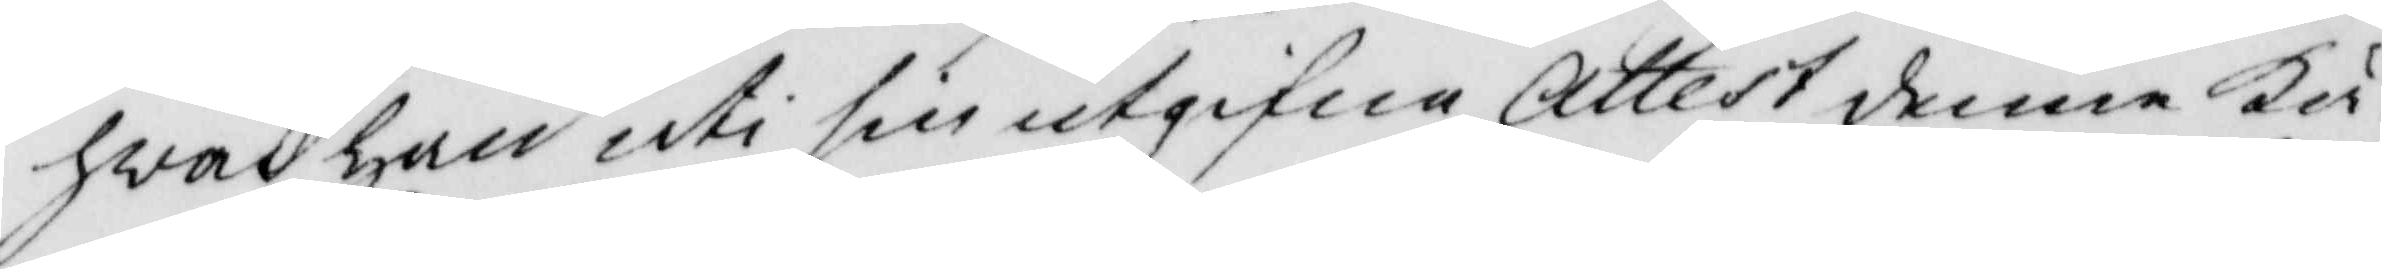hwad han uti sin utgifne Attest denne Kä¬
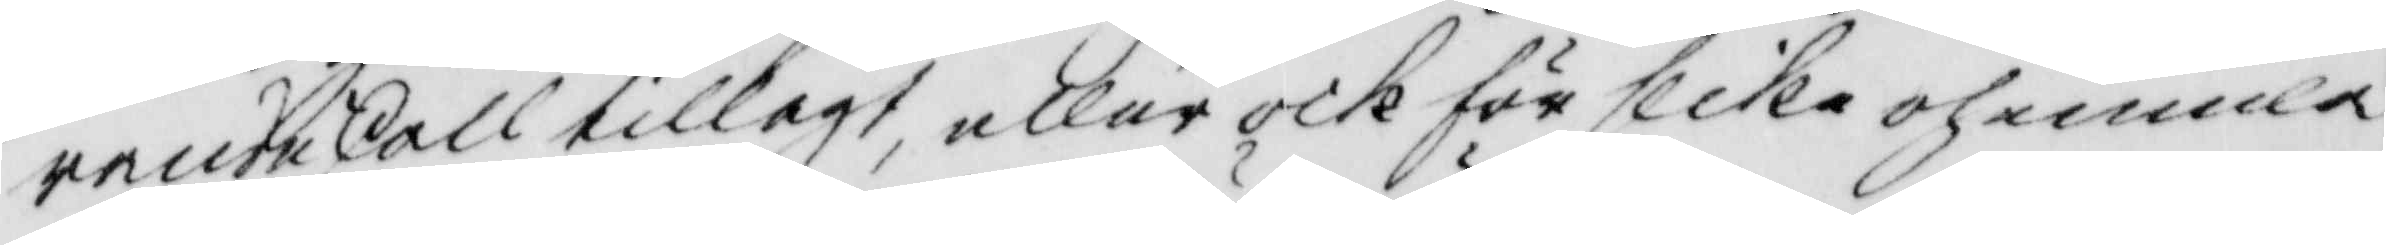rande skall tillagt, eller och för slika ohemula
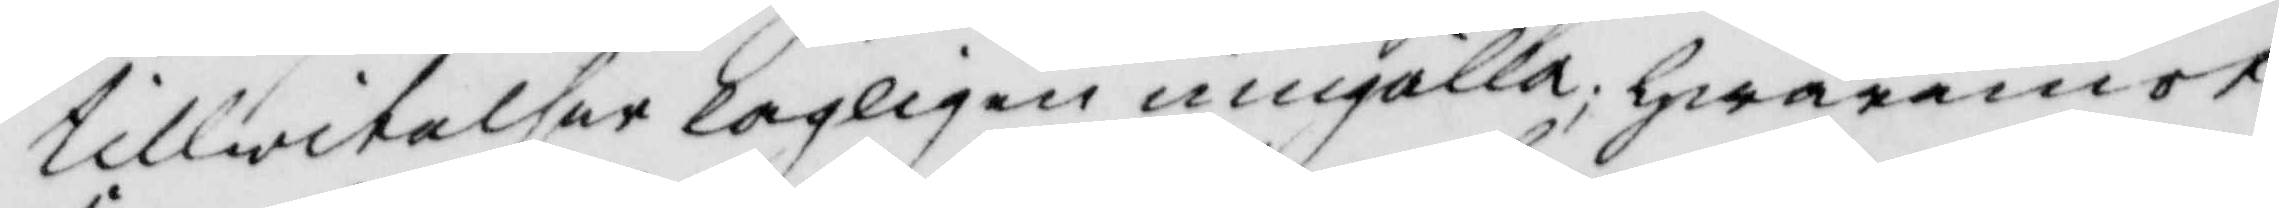tillwitelser lagligen ungälla; hwaremot
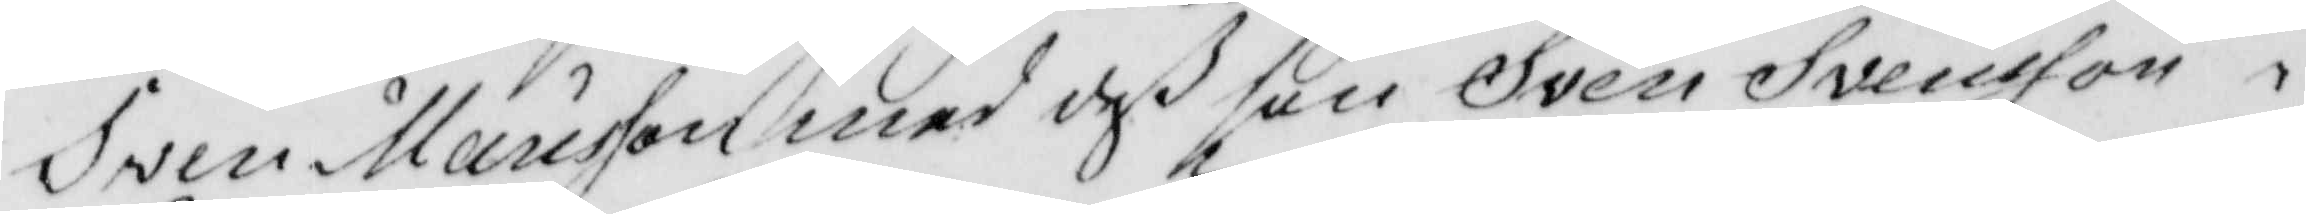Swen Månsson med deß son Sven Svensson i
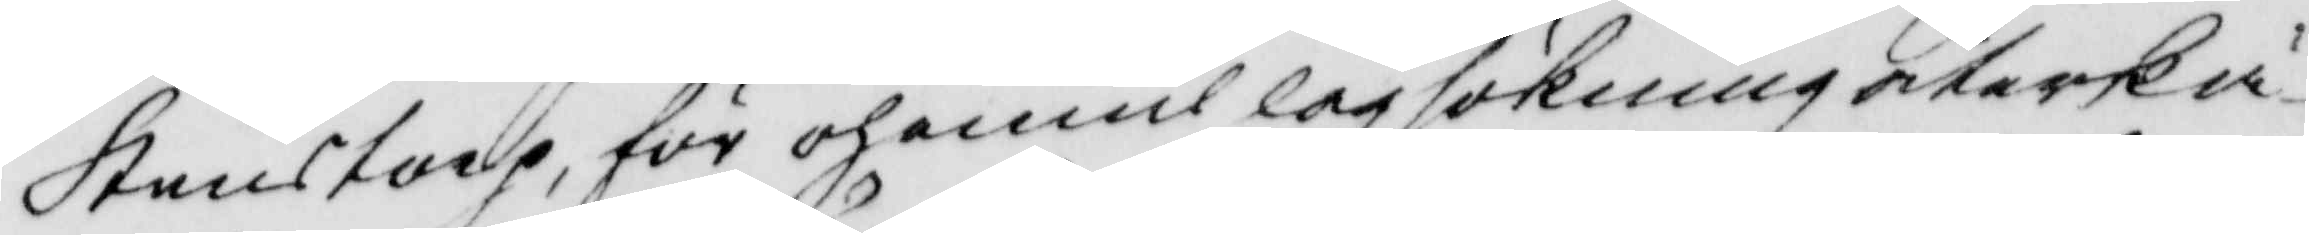skenstorp, för ohemul lagsökning återkärat.
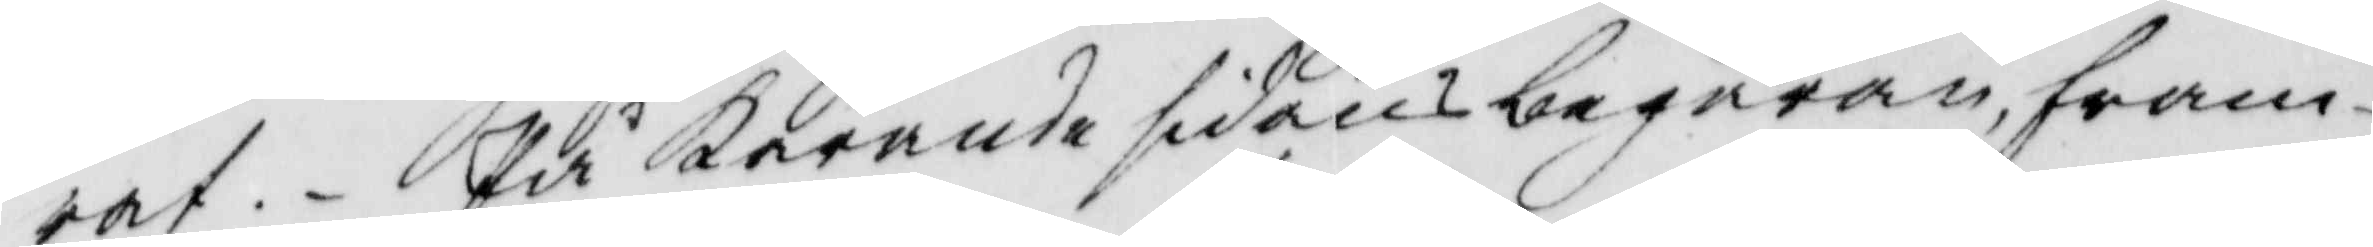På kärande sidans begäran, fram¬
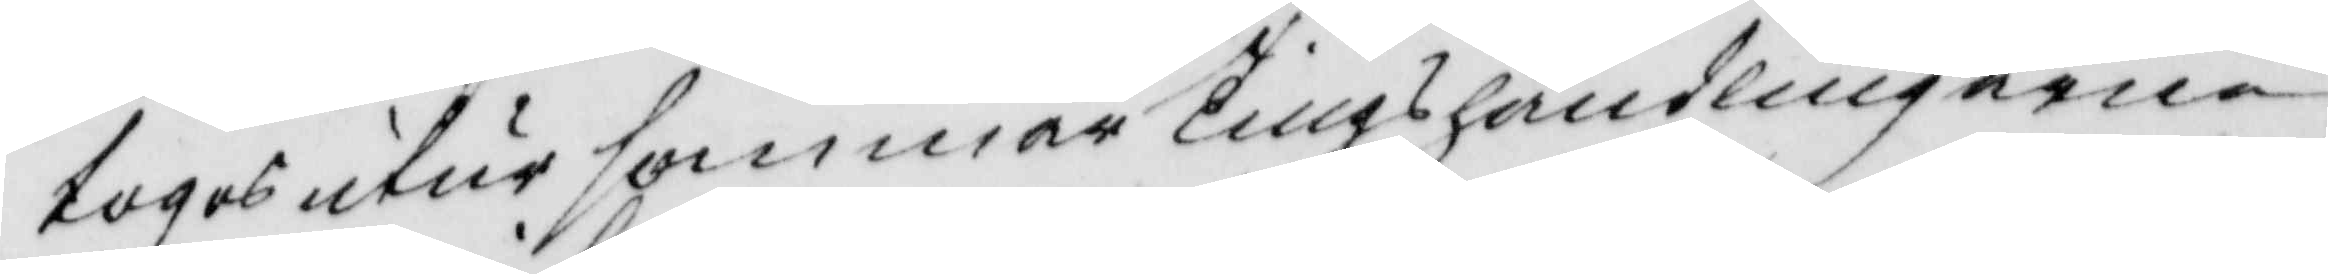togos utur samma Tingshandlingarne
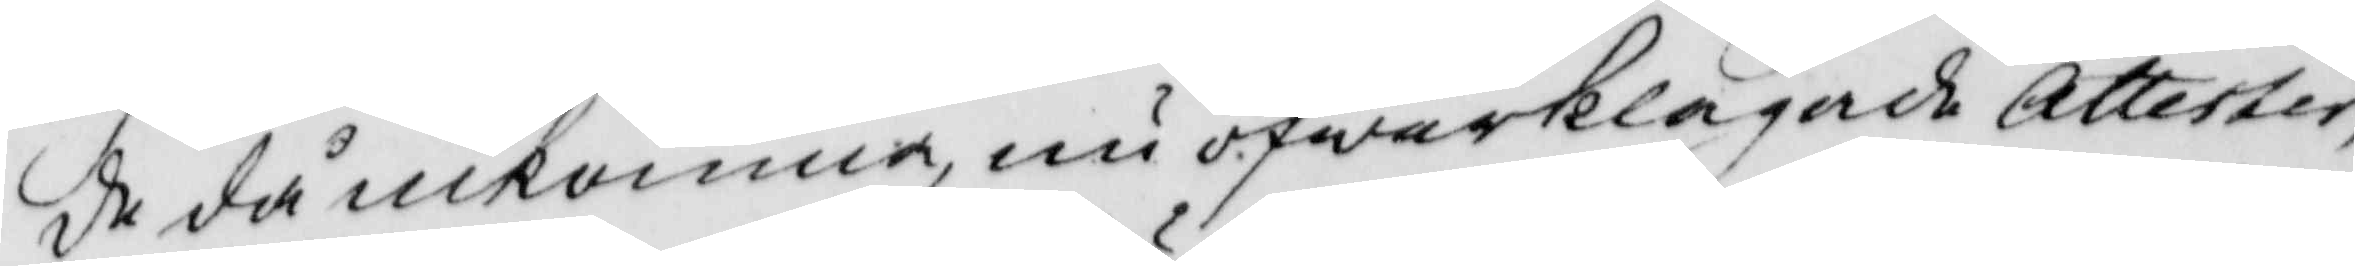de då inkoma, nu öfwerklagade Attester,
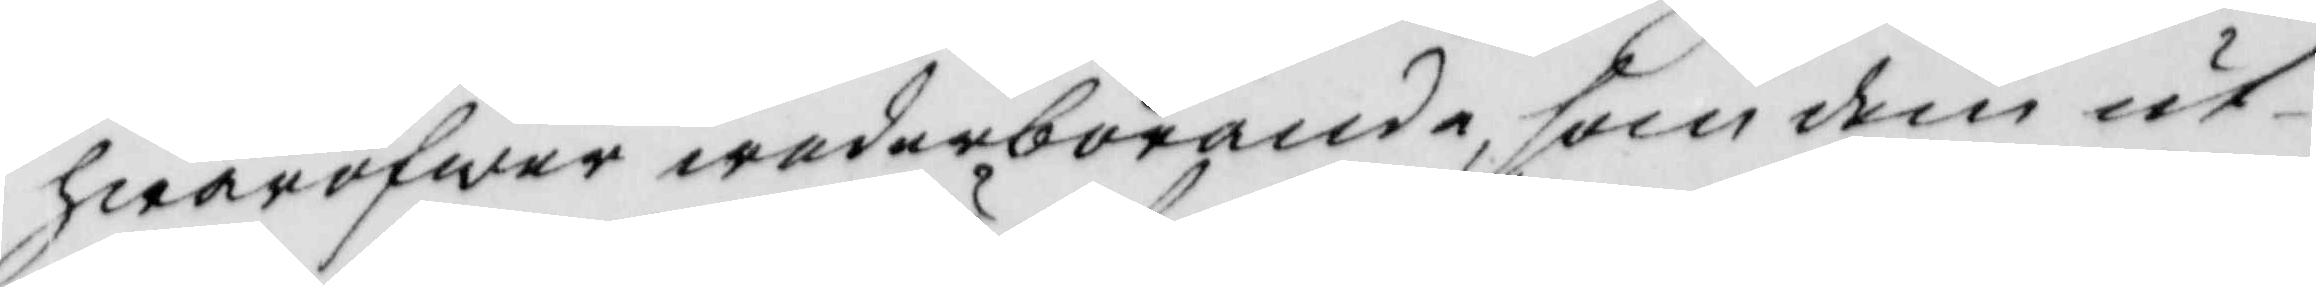hwaröfwer wederbörande, som dem ut¬
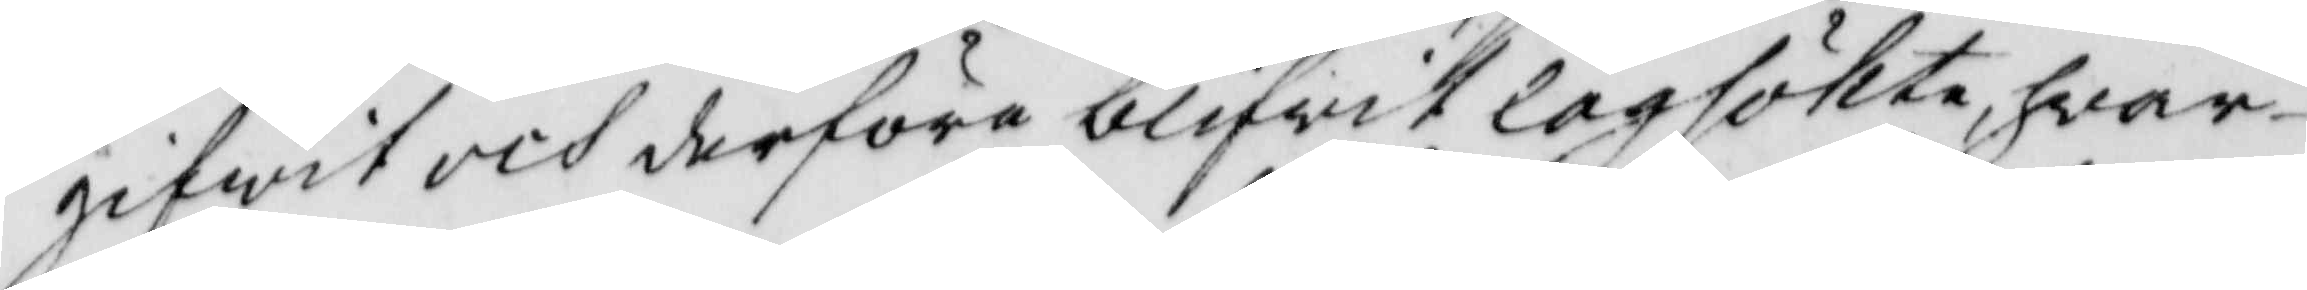gifwit och derföre blifwit lagsökte, hwar¬
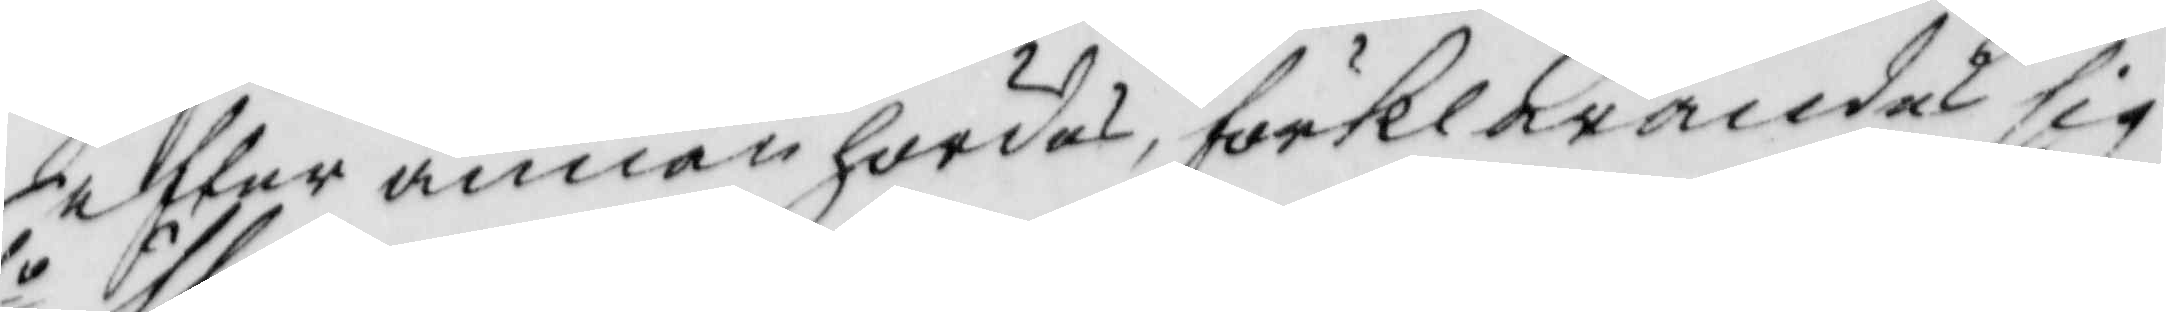efter annan hördes, förklarandes sig
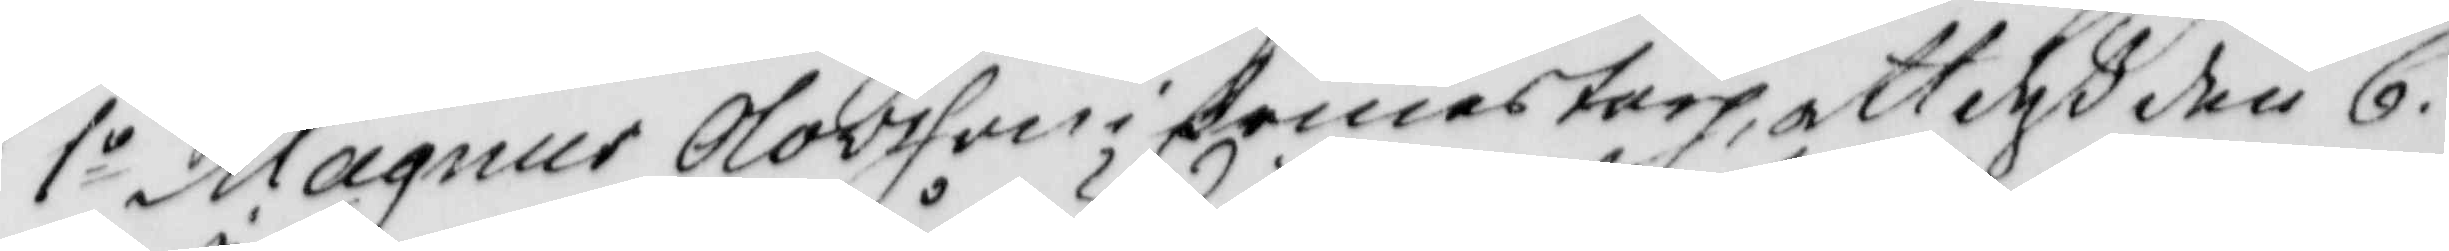1o Magnus Olovsson i Ermestorp, att deß den 6.
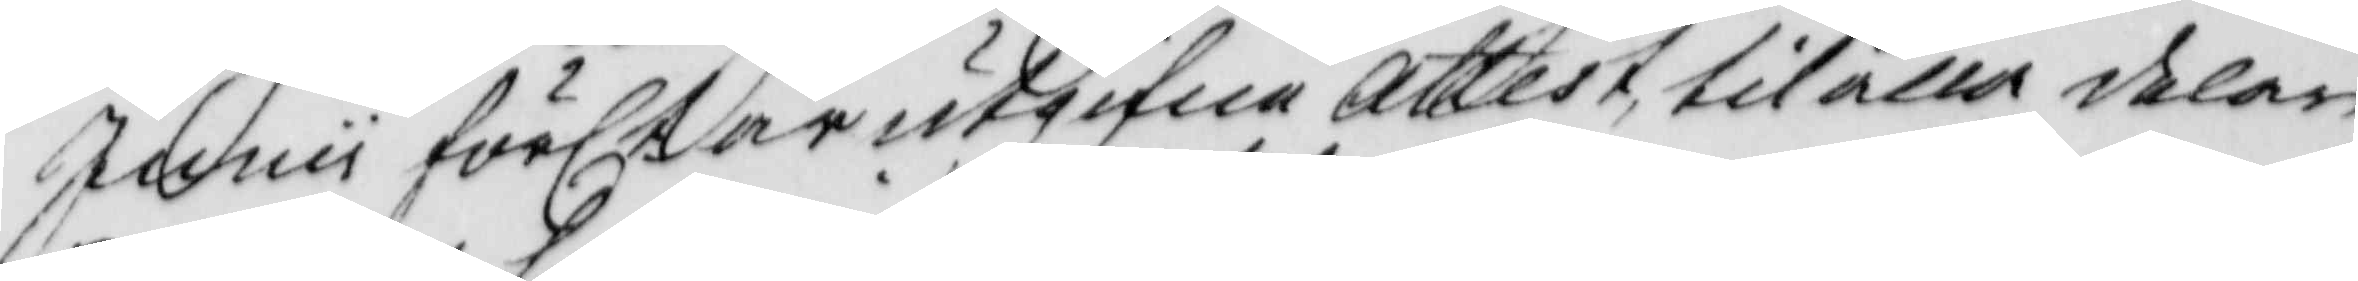Junii förl står utgifbe Attest, til alla delar
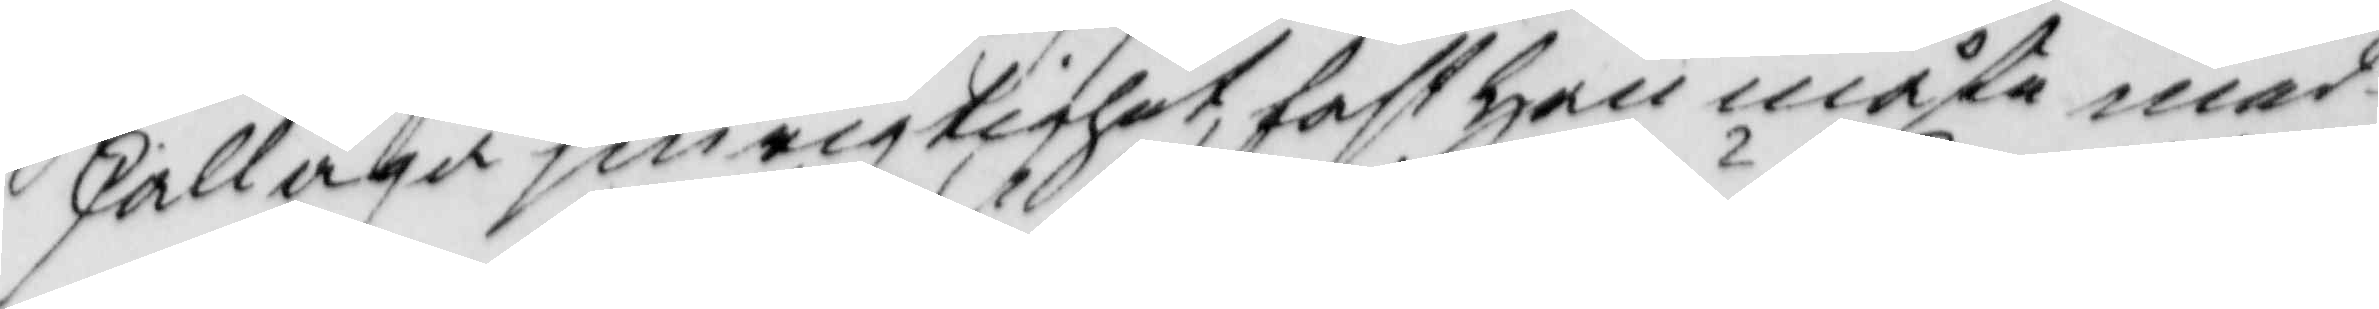skall äga sin rigtighet, fast han måste med¬
